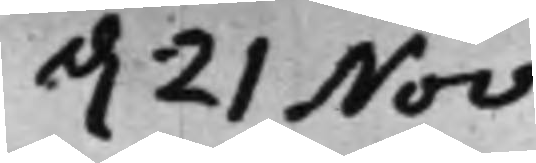d. 21 Nov.
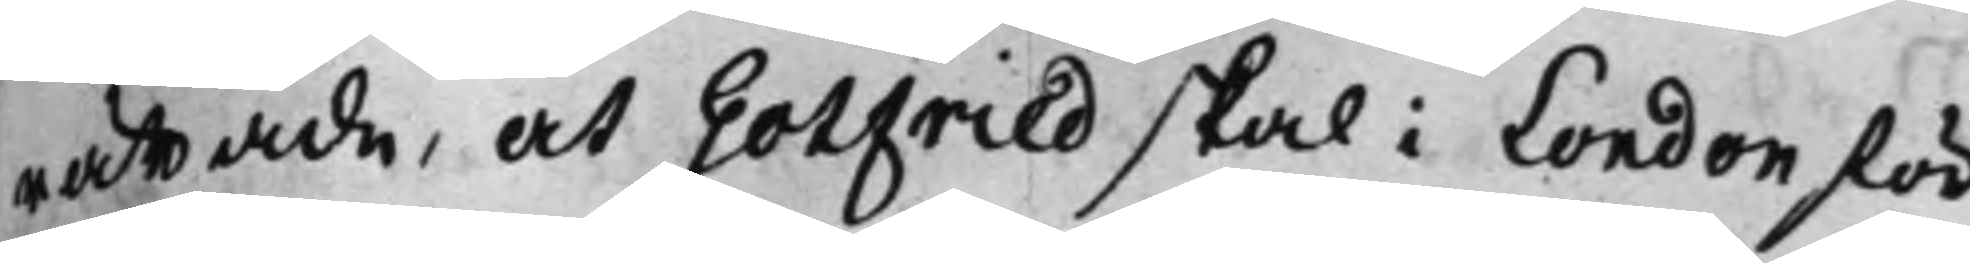rättade, at Gotfried skal i London för
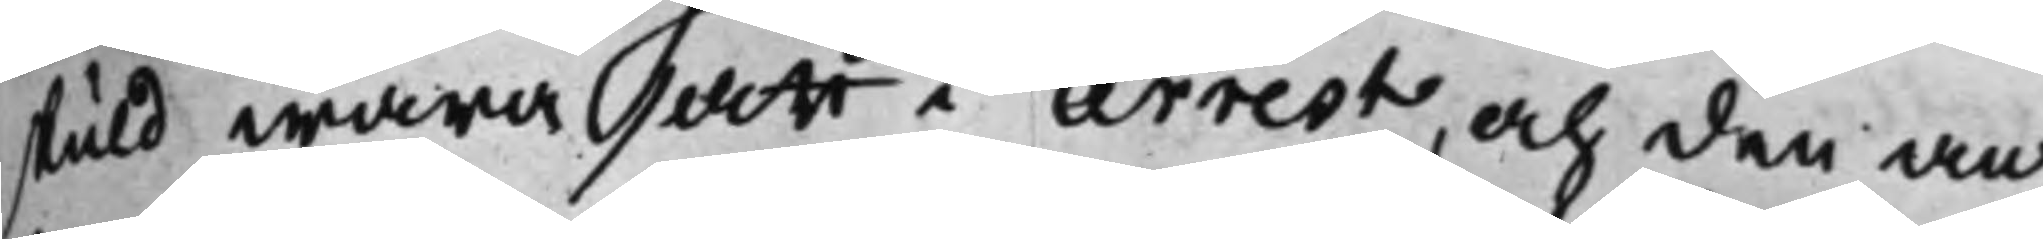stuld wara satt i arrest, och den an¬
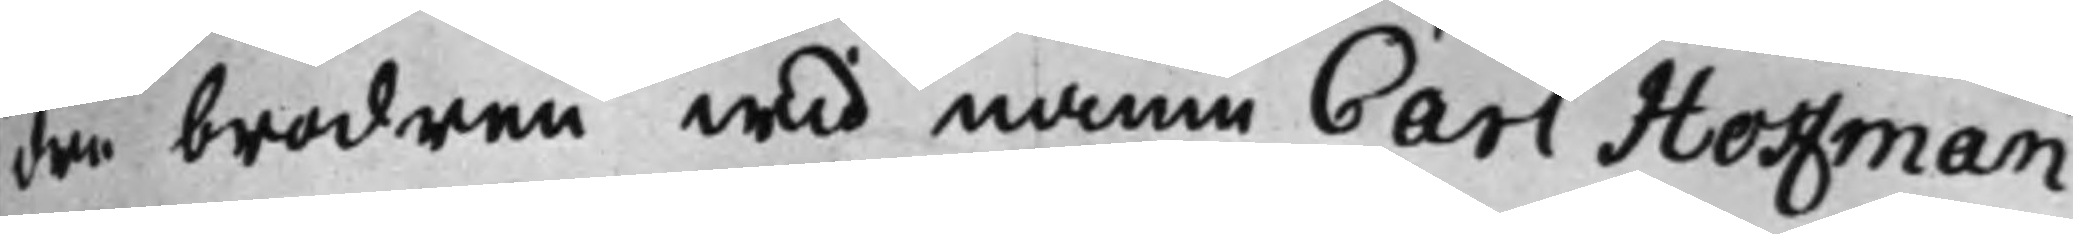dre brodren wid namn Carl Hoffman
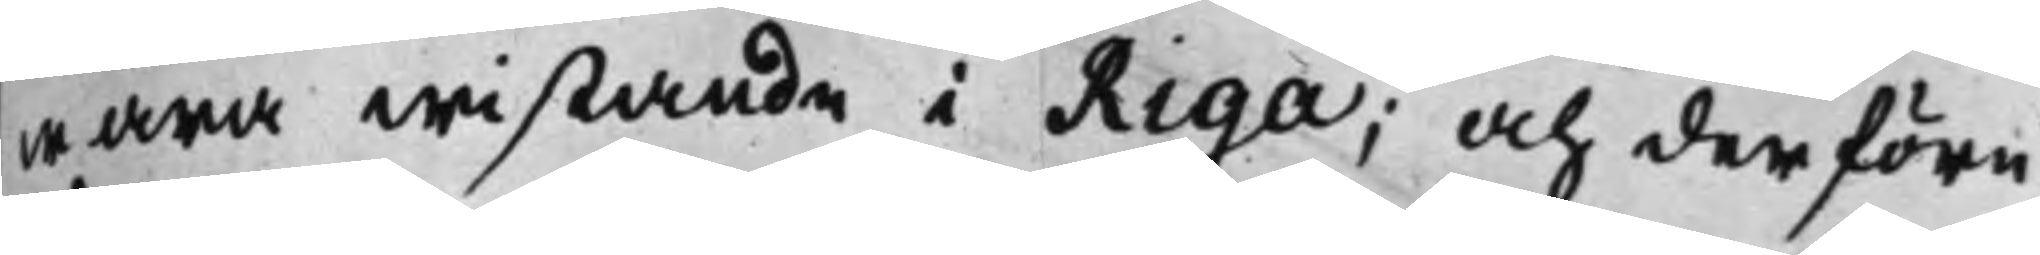wara wistande i Riga; och derföre
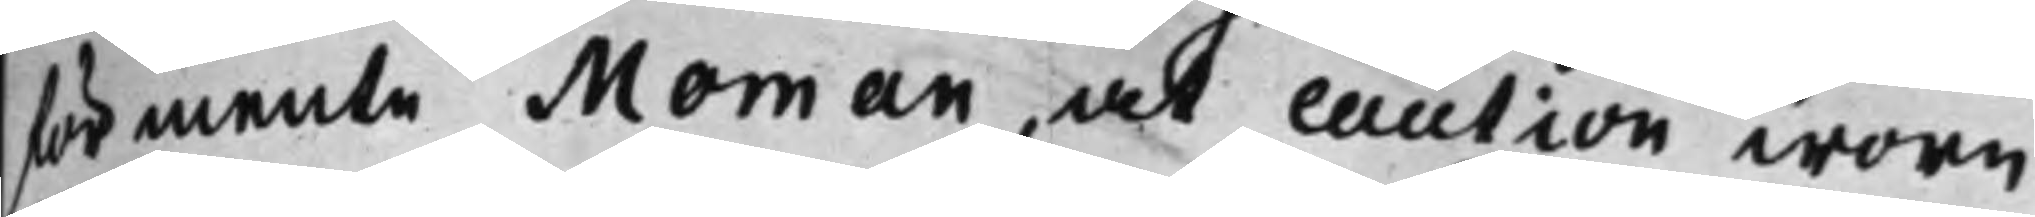förmente Moman, at caution wore
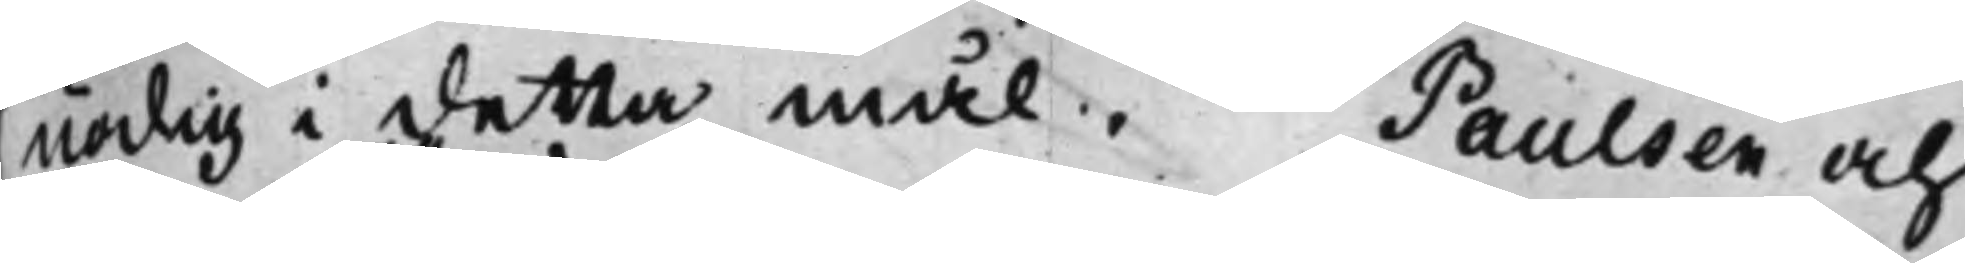nödig i detta mål. Paulsen och
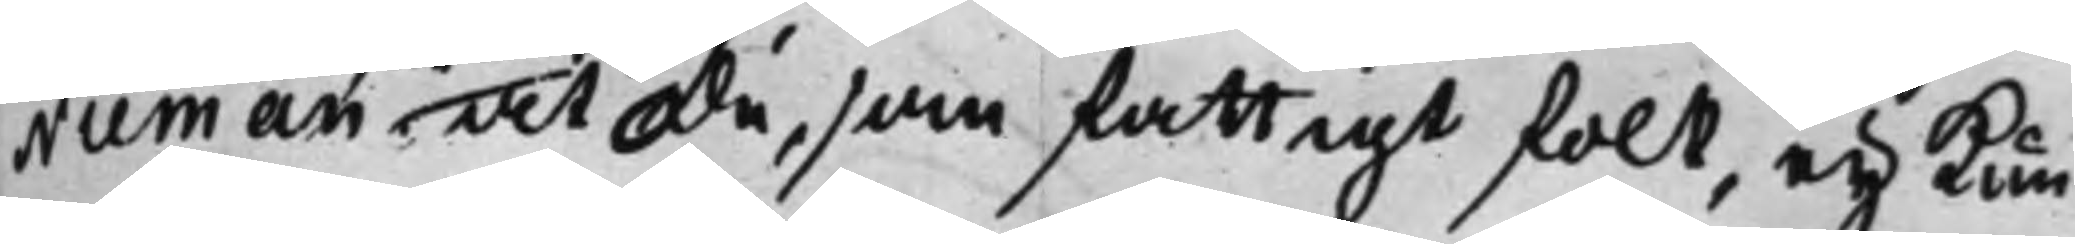Nieman det de, som fattigt folk, ey kun¬
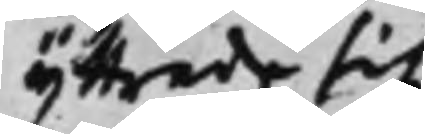yttrade sig,
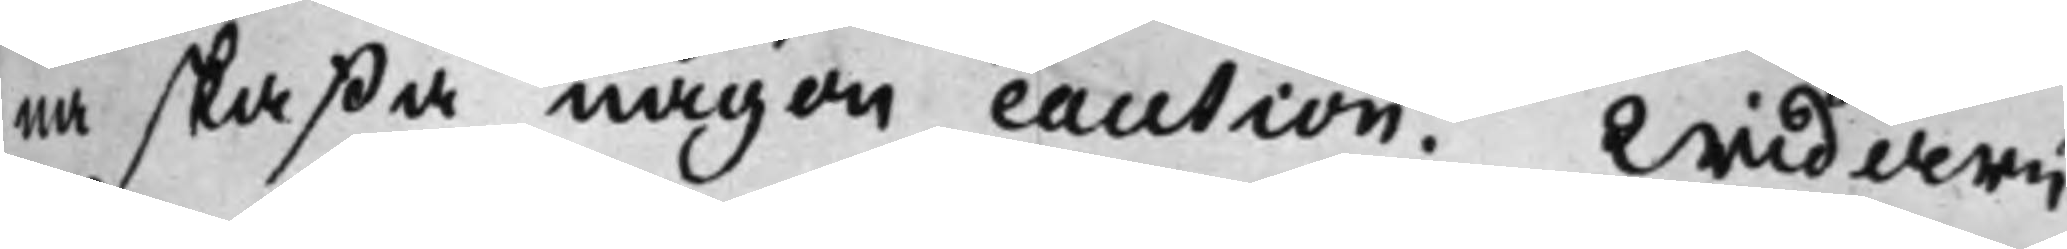na skaffa någon caution. Widare
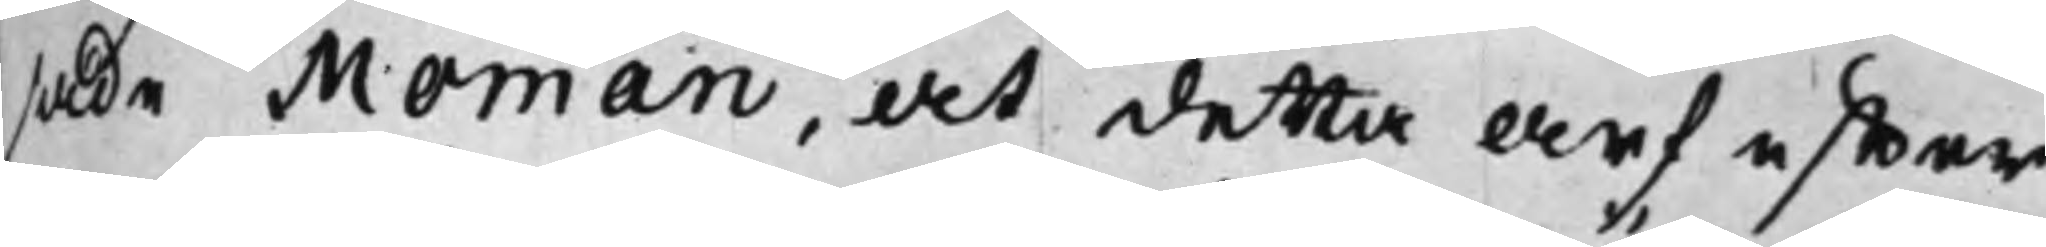sade Moman, at detta arf effter
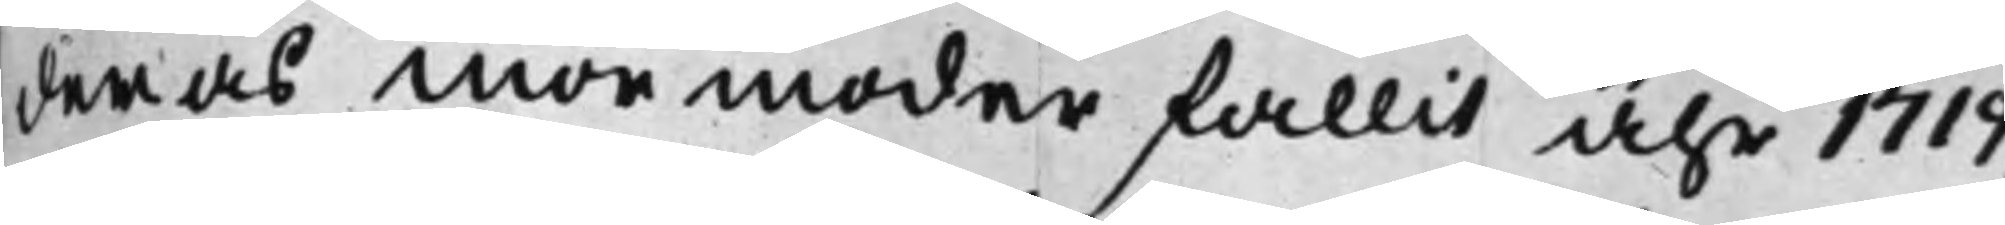deras mormoder fallit åhr 1719,
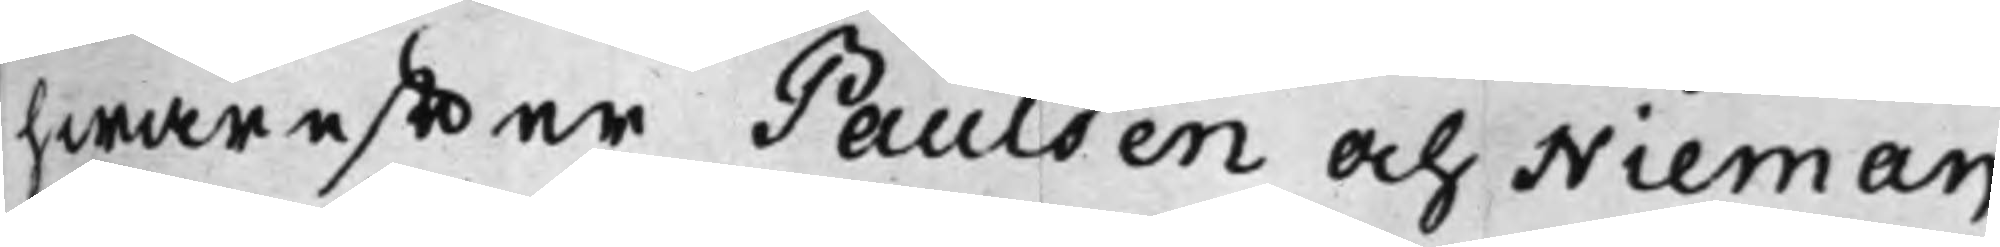hwareffter Paulsen och Nieman
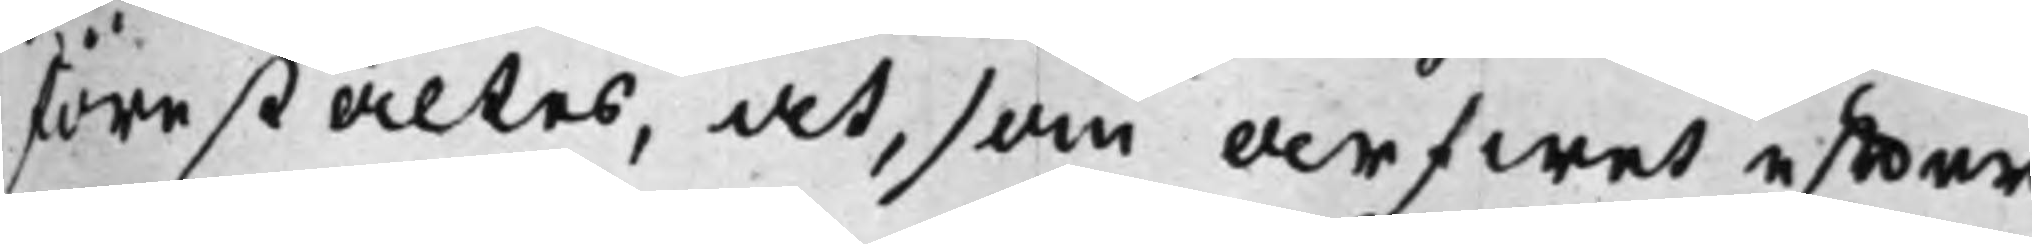förestältes, at, som arfwet effter
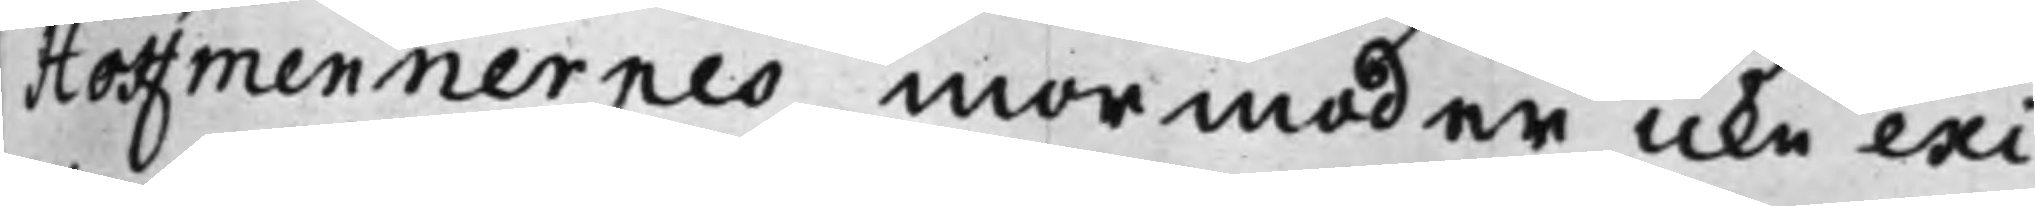Hoffmennernes mormoder icke exi¬
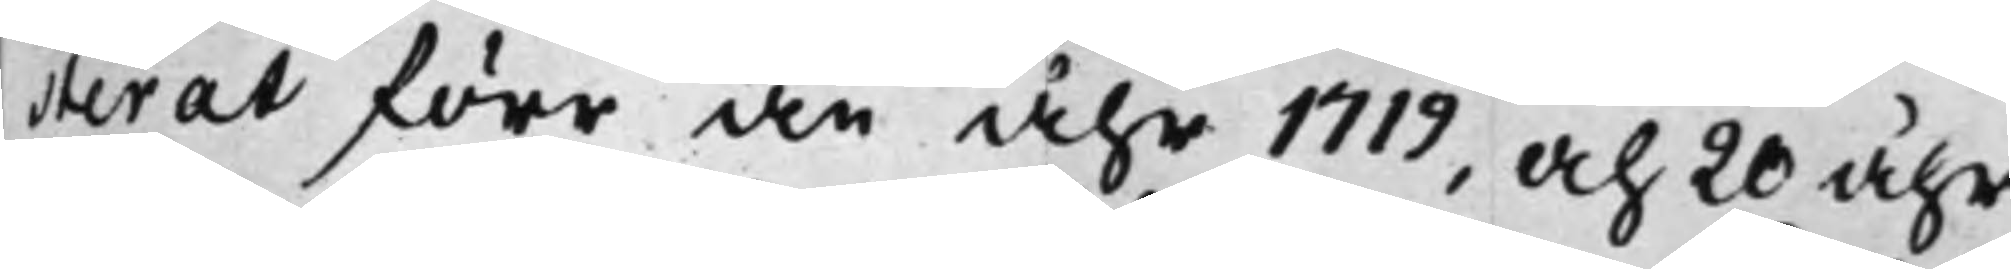terat förr än åhr 1719, och 20 åhr
